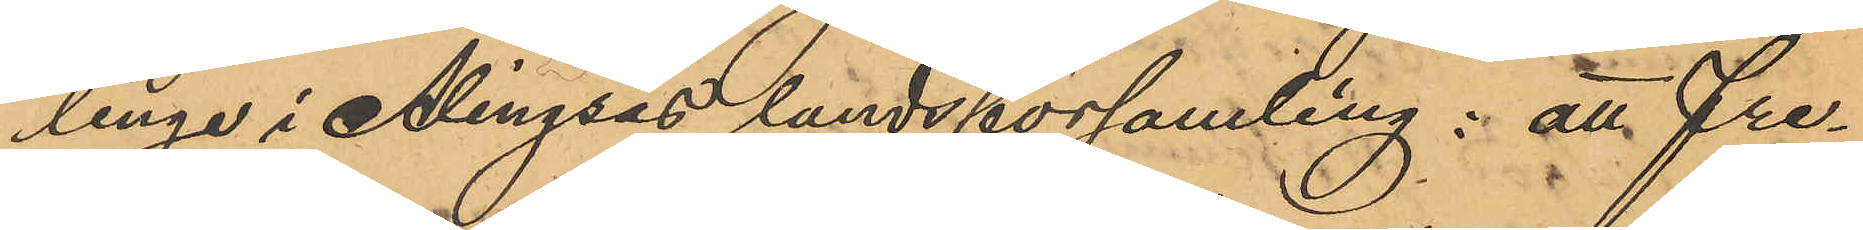linge i Alingsås landsförsamling; att Fre¬
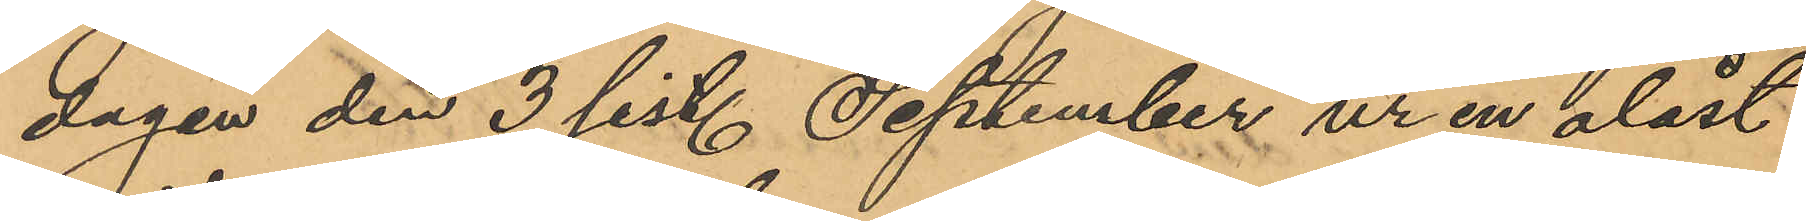dagen den 3 sist. September ur en olåst
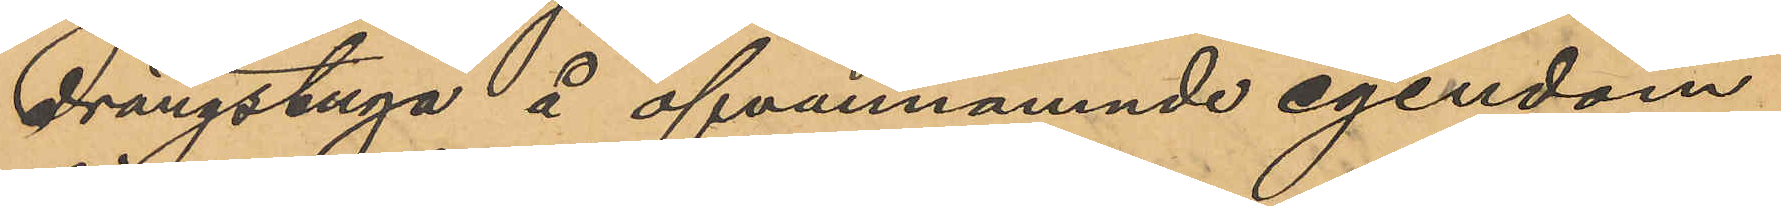drängstuga å ofvannämnde egendom
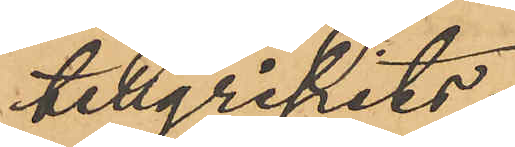tillgripits:
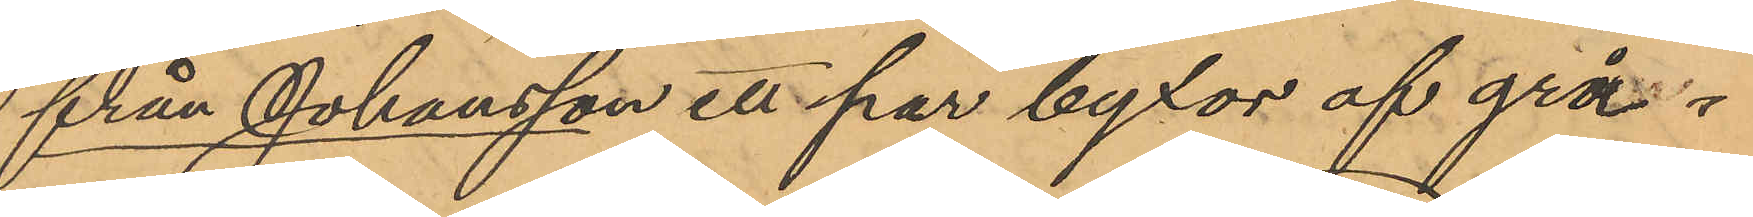från Johansson ett par byxor af grå¬
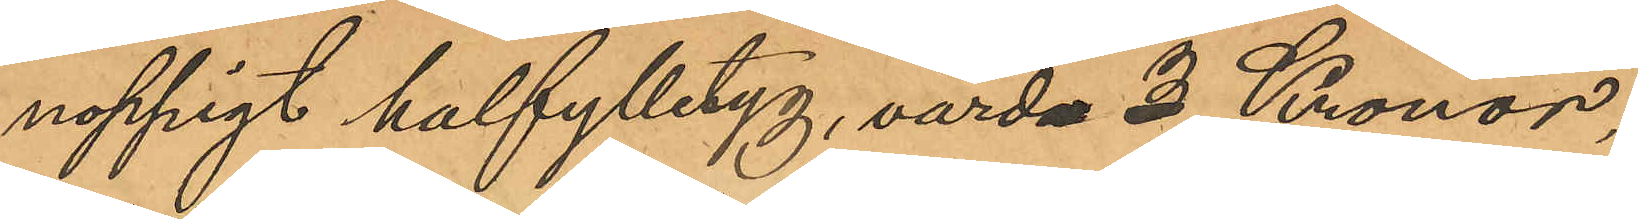noppigt halfylletyg, värda 3 Kronor,
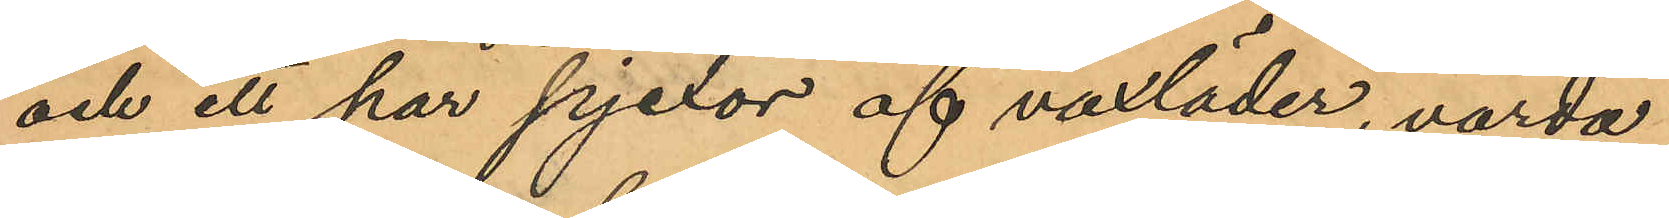och ett har pjexor af vaxläder, värda
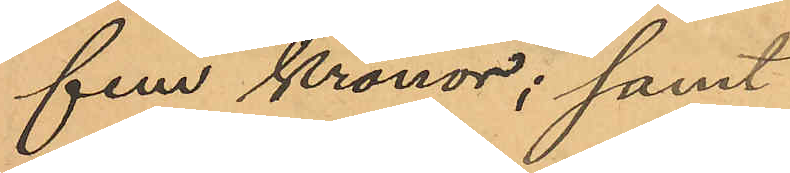fem Kronor; samt
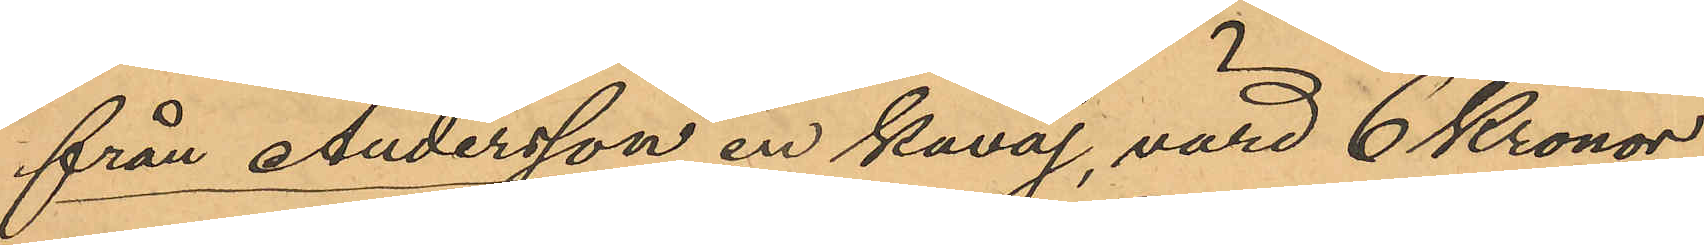från Andersson en kavaj, värd 6 Kronor,
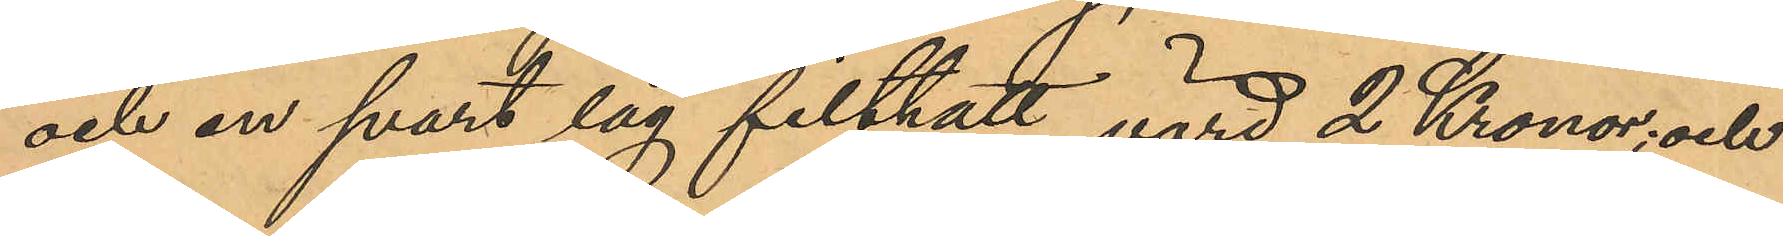och en svart låg filthatt, värd 2 Kronor; och
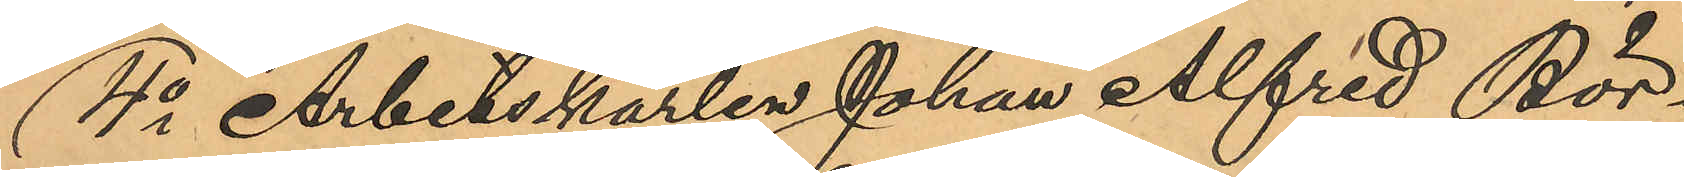4o Arbetskarlen Johan Alfred Bör¬
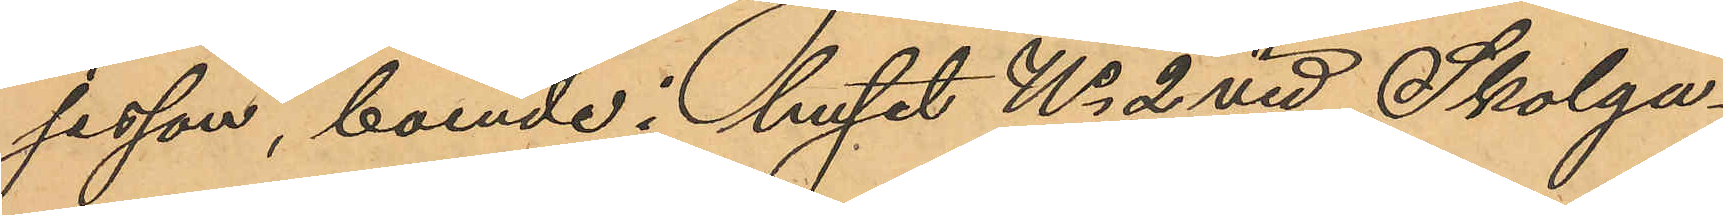jesson, boende i huset No 2 vid Skolga¬
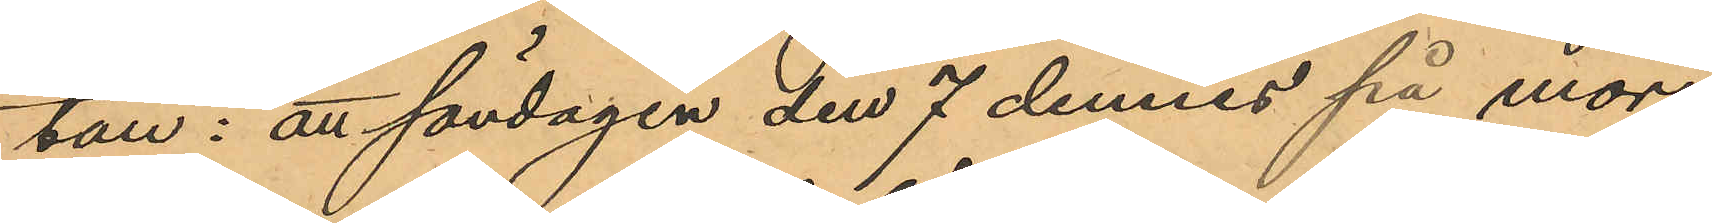tan: att söndagen den 7 dennes på mor¬
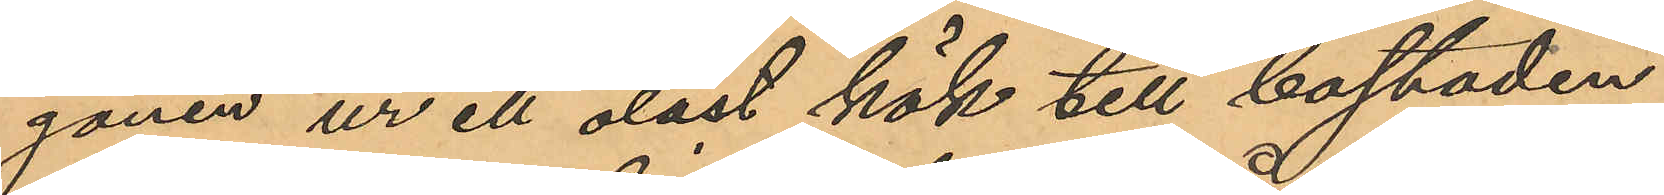gonen ur ett olåst kök till bostaden
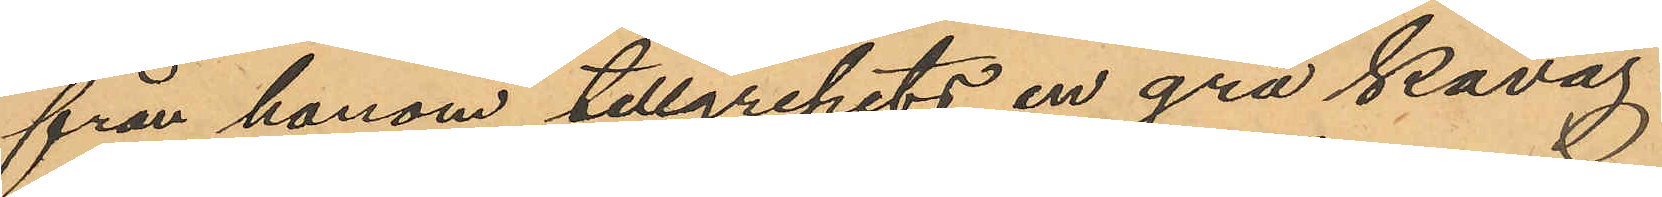från honom tillgripits en grå kavaj
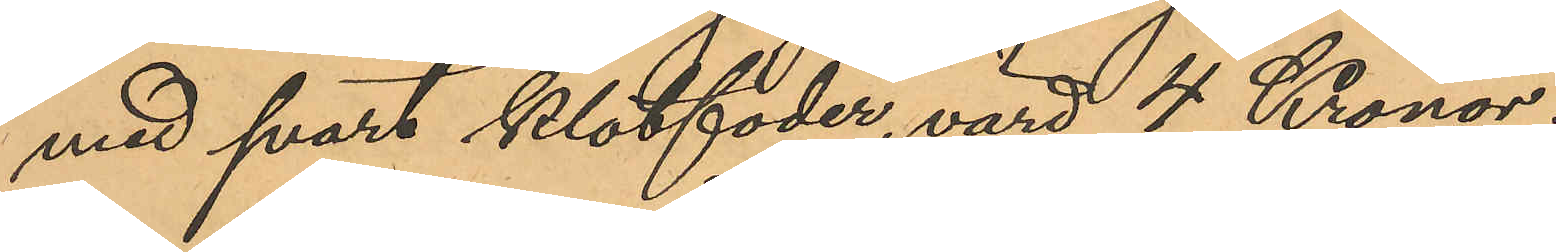med svart klotfoder, värd 4 Kronor.
